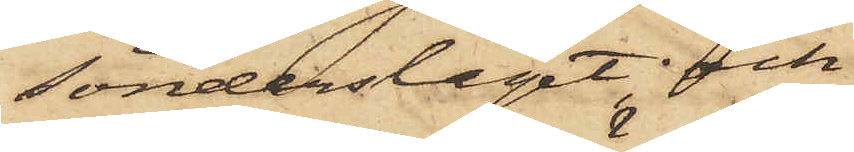sönderslaget; och
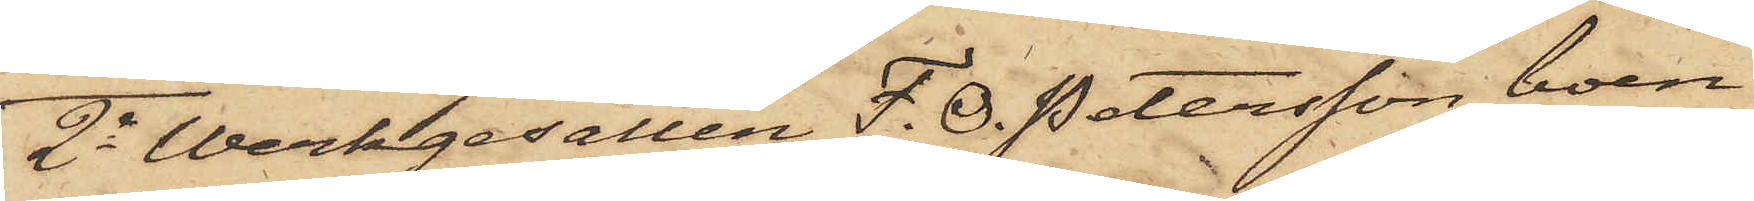2o Werkgesällen F. O. Petersson, boen¬
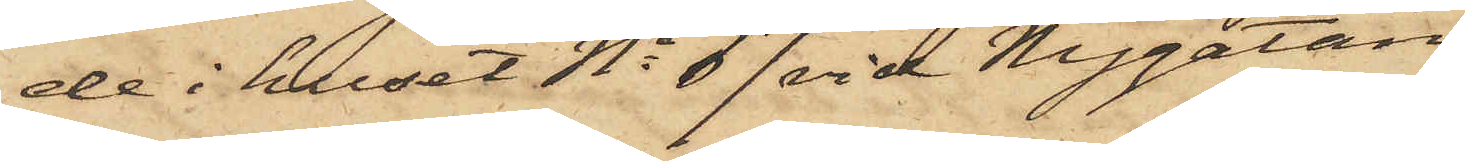de i huset No 67 vid Nygatan
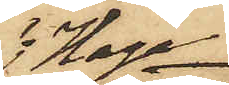i Haga,
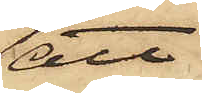att
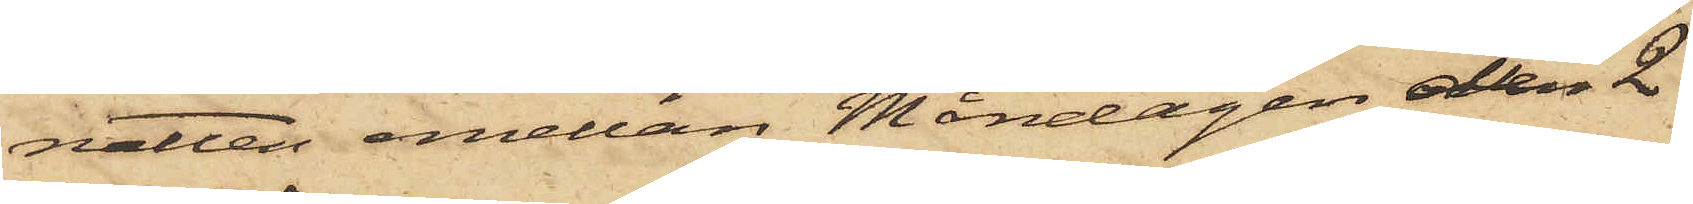natten emellan Måndagen den 2
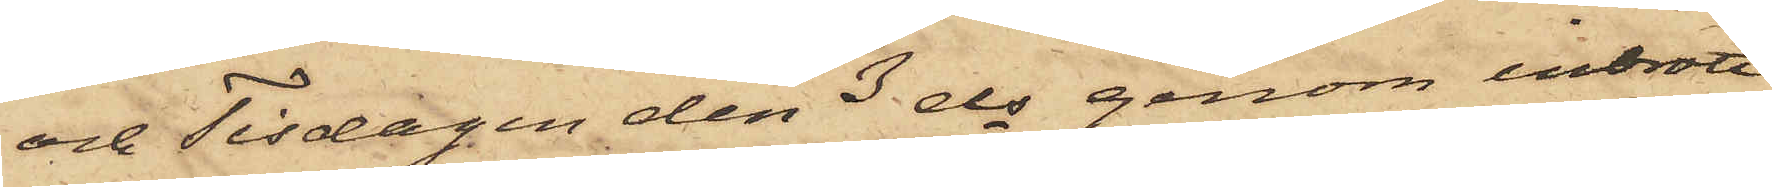och Tisdagen den 3 ds genom inbrott
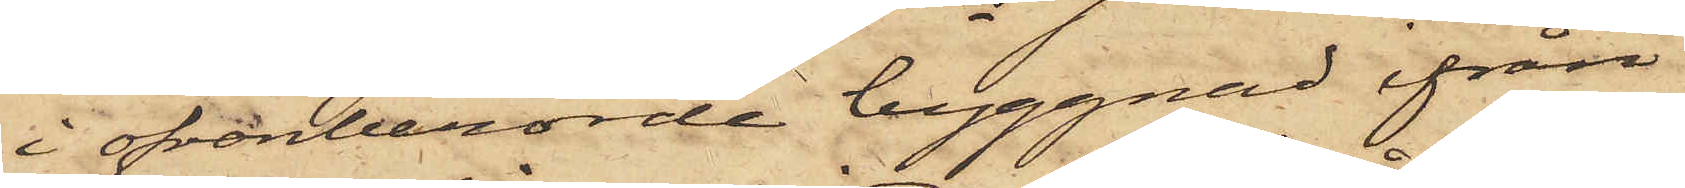i ofvanberörde byggnad ifrån
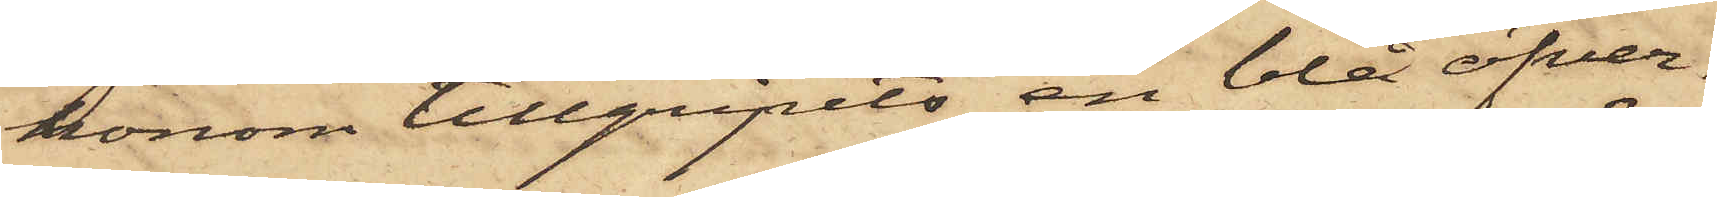honom tillgripits en blå öfver¬
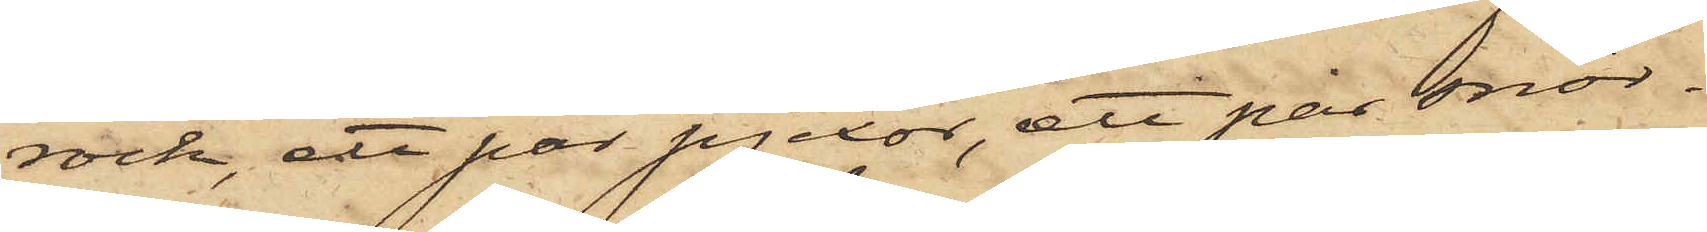rock, ett par pjexor, ett par snör¬
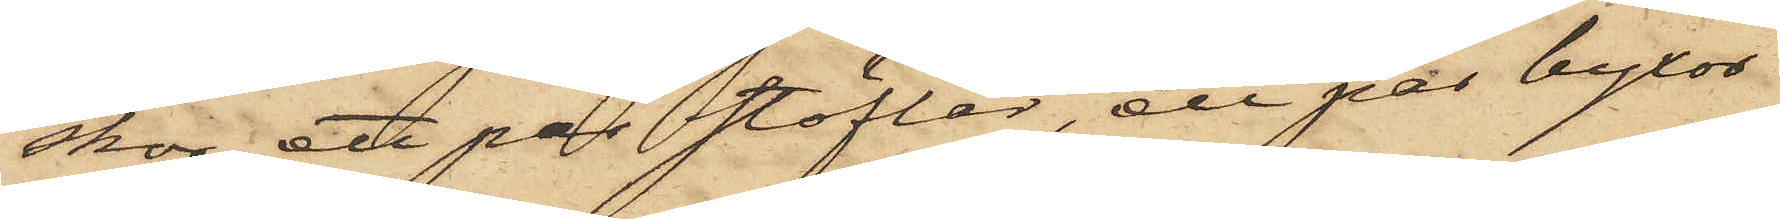skor, ett par stöflar, ett par byxor
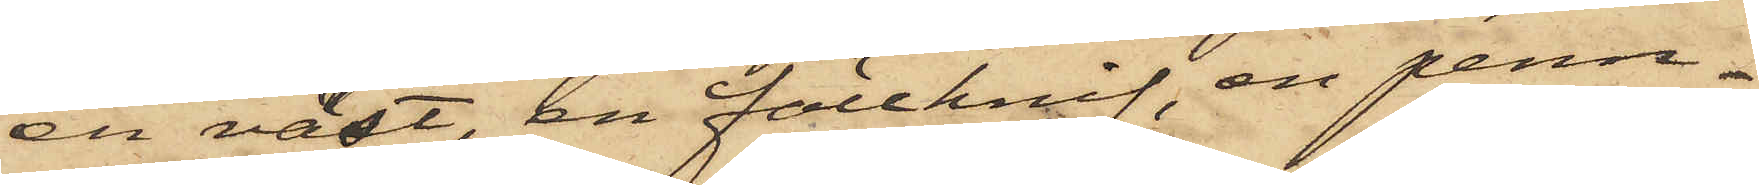en väst, en fällknif, en penn¬
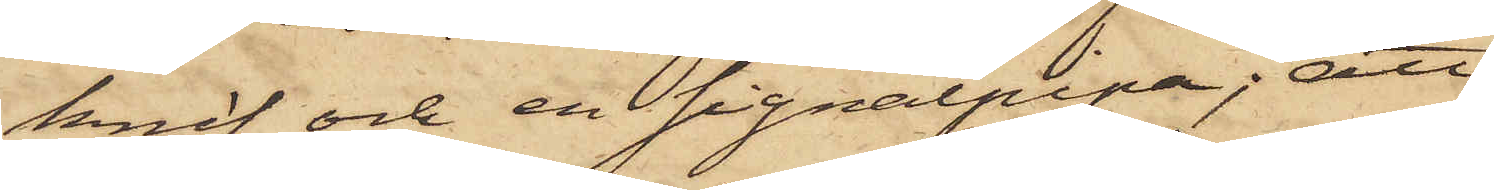knif och en signalpipa; att
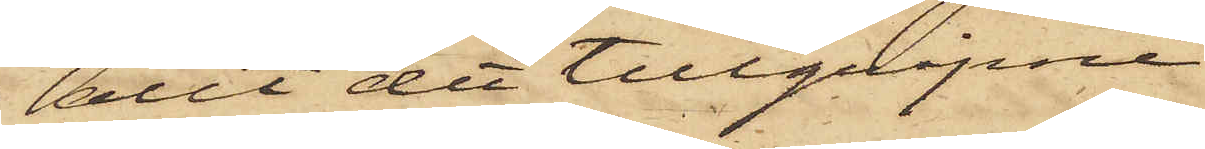allt det tillgripne
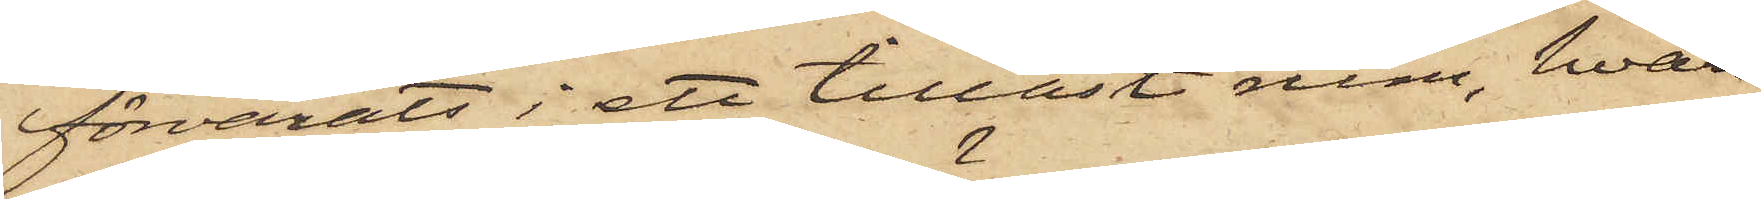förvarats i ett tillåst rum, hvars
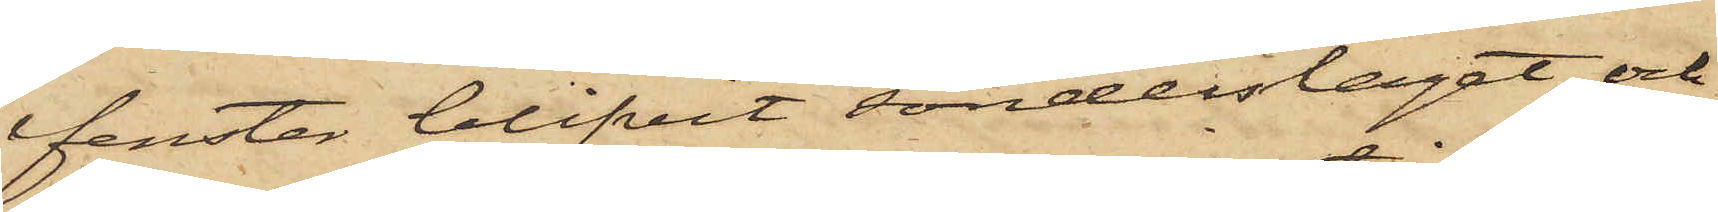fenster blifvit sönderslaget och
